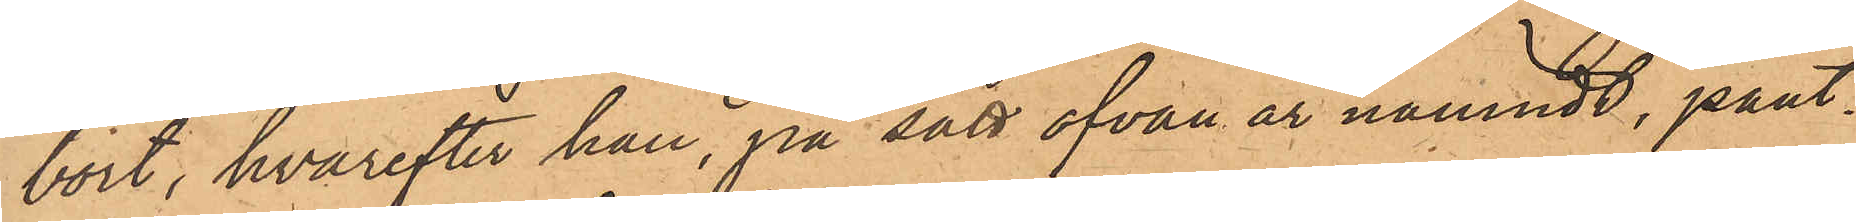bort, hvarefter han, på sätt ofvan är nämndt, pant¬
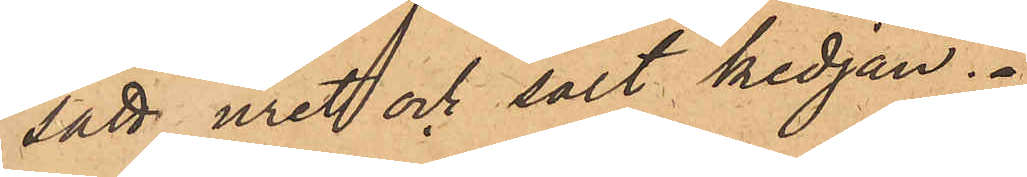satt uret och sålt kedjan.
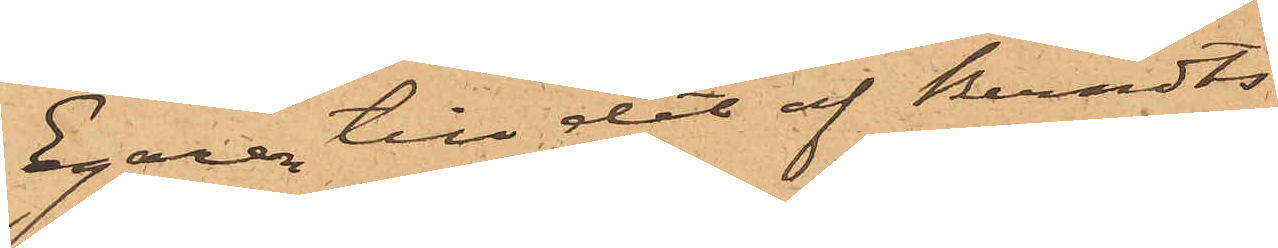Egare till det af Bernts¬
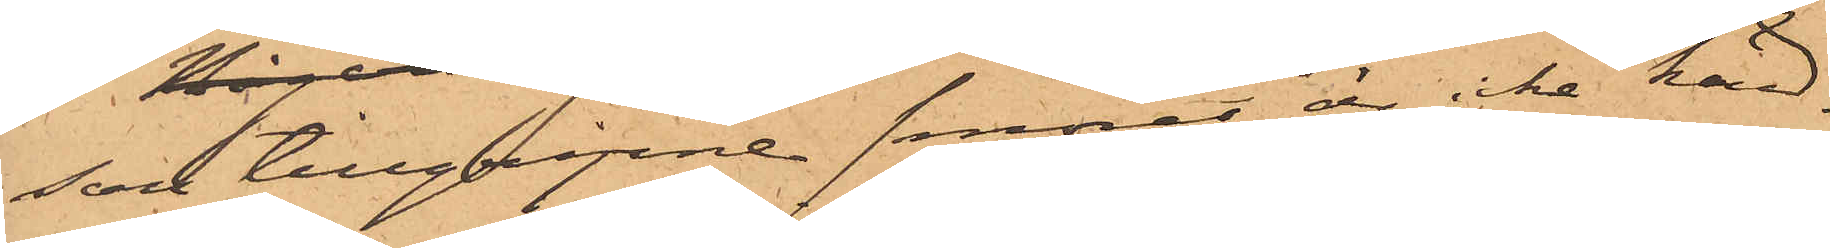son tillgripne smöret är icke känd.
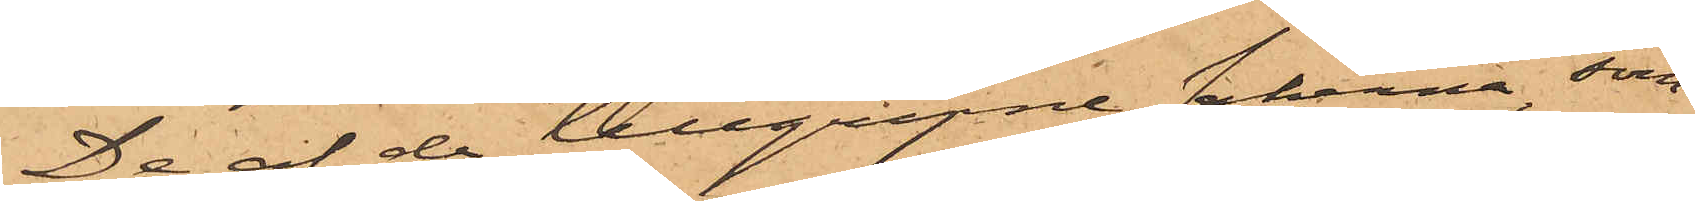De af de tillgripne sakerna, som
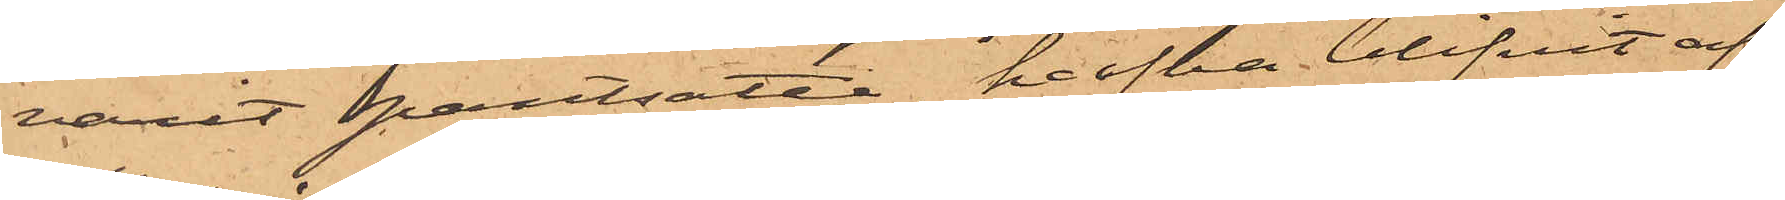varit pantsatta, hafva blifvit af
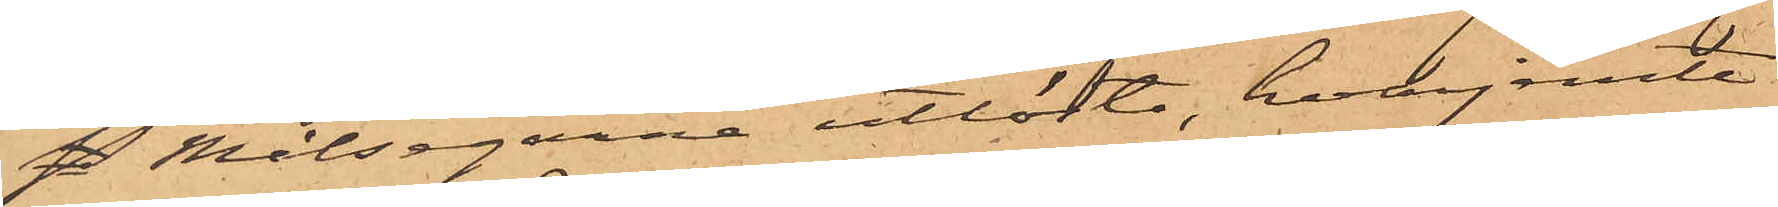 Målsegarne utlösta, hvarjemte
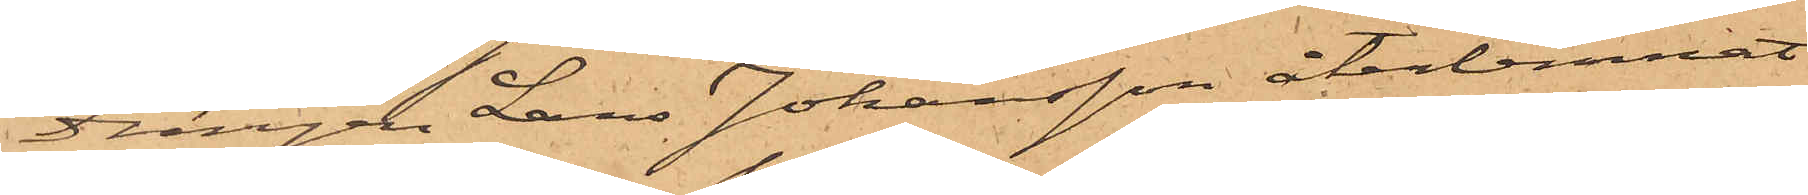drängen Lars Johansson återlemnat
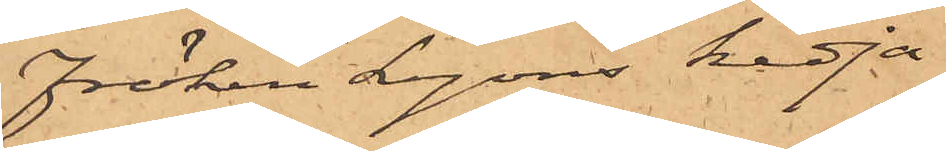fröken Leyons kedja.
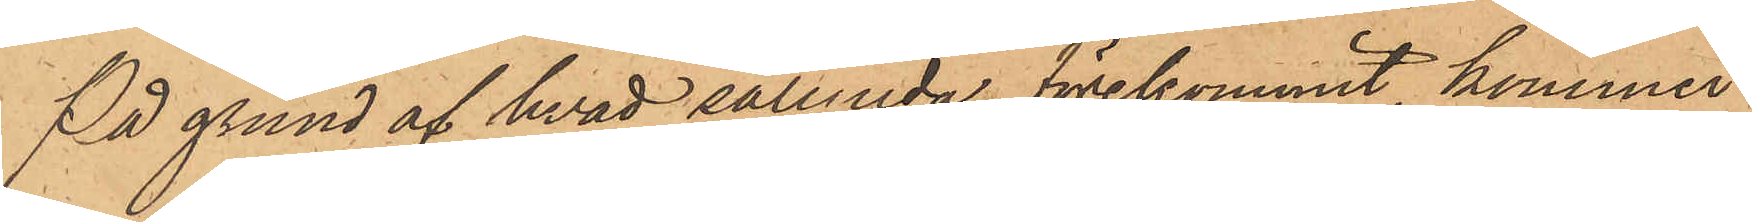På grund af hvad sålunda förekommit, kommer
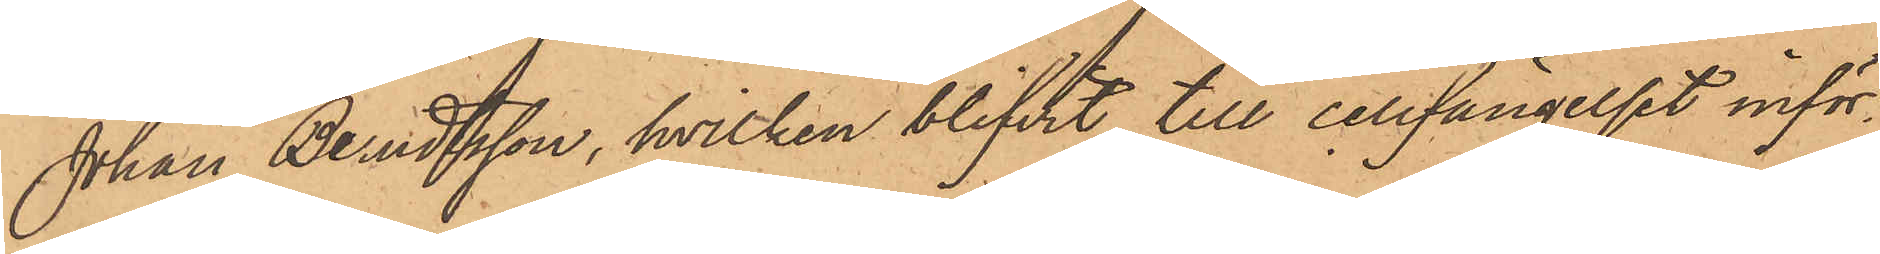Johan Berndtsson, hvilken blifvit till cellfängelset inför¬
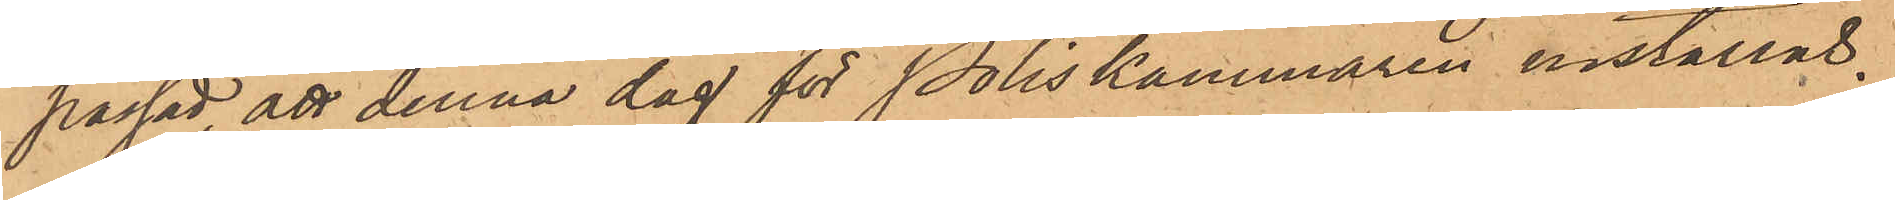passad, att denna dag för Poliskammaren inställas.
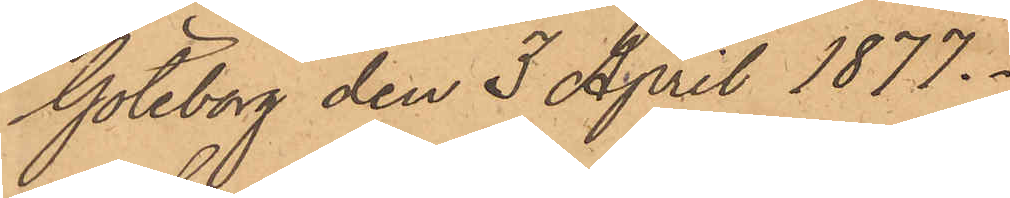Göteborg den 3 April 1877.
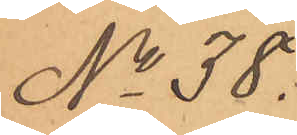No 38.
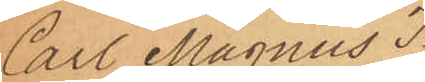Carl Magnus I¬
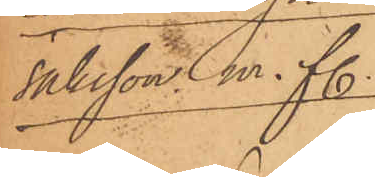saksson m. fl.
